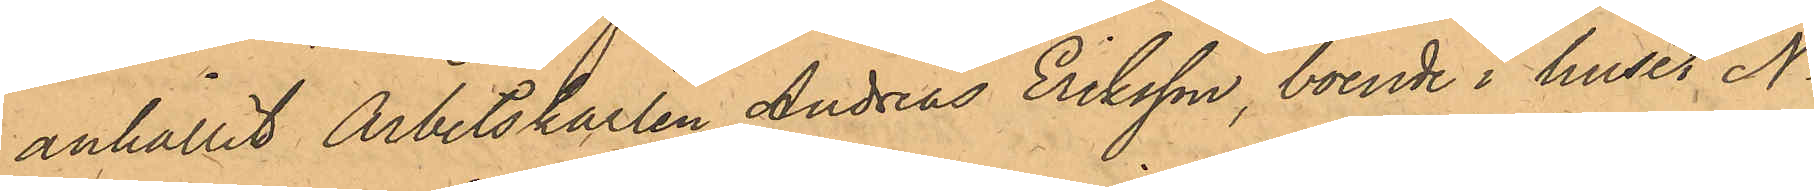anhållit Arbetskarlen Andreas Eriksson, boende i huset No
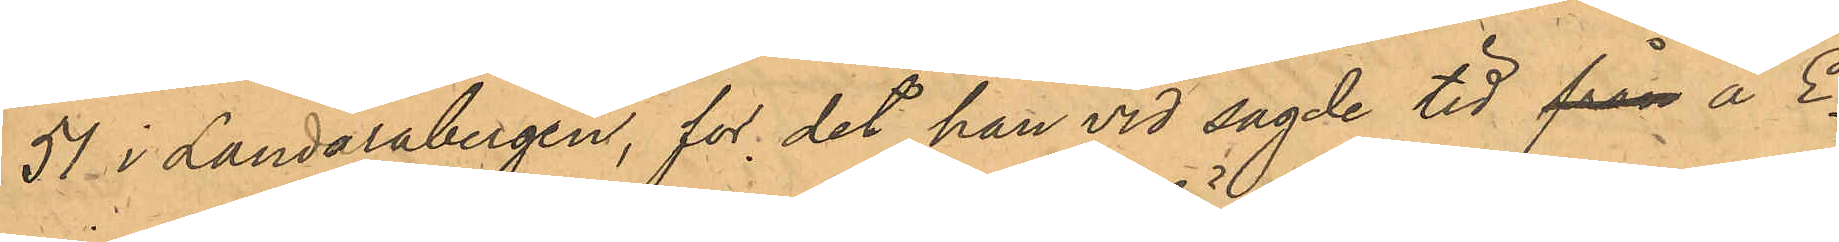51 i Landalabergen, for det han vid sagde tid från å E¬
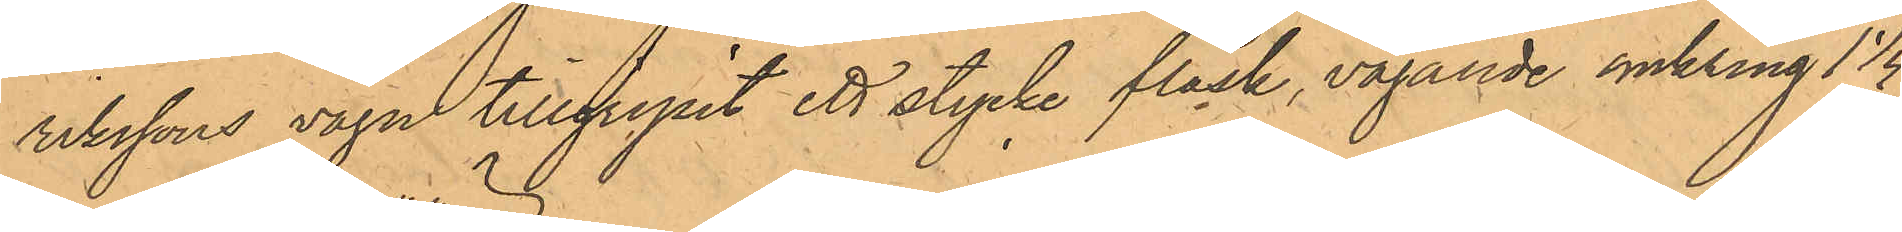rikssons vagn tillgripit ett stycke fläsk, vägande omkring 1 1/4
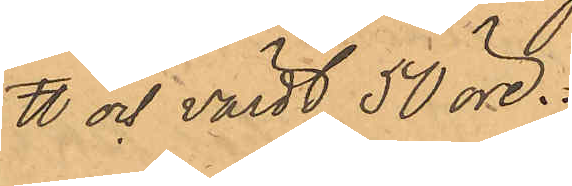℔ och värdt 50 öre.
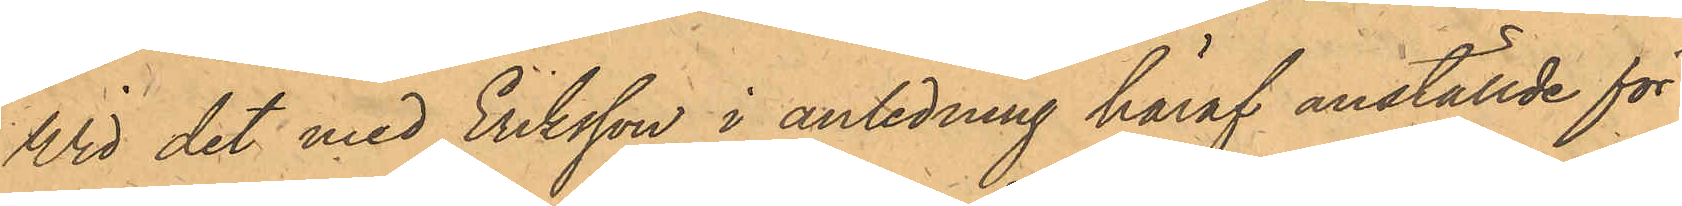Vid det med Eriksson i anledning häraf anställde för¬
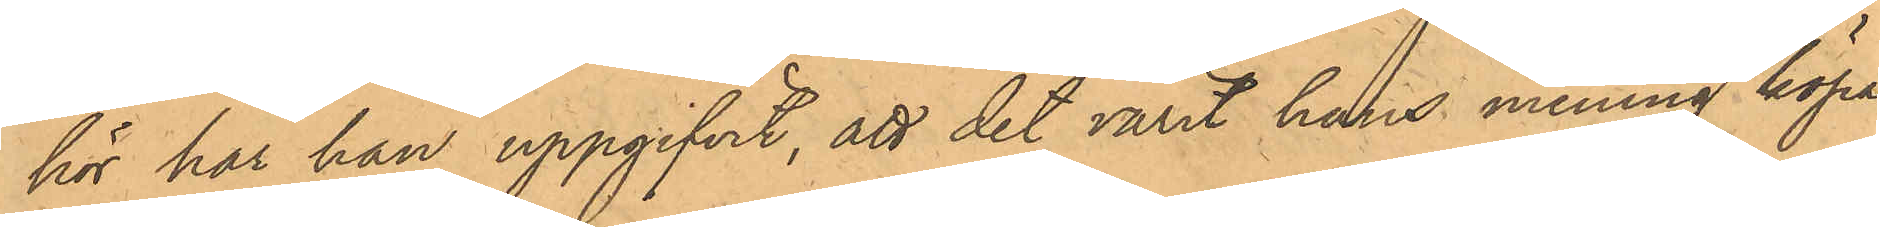hör har han uppgifvit, att det varit hans mening köpa
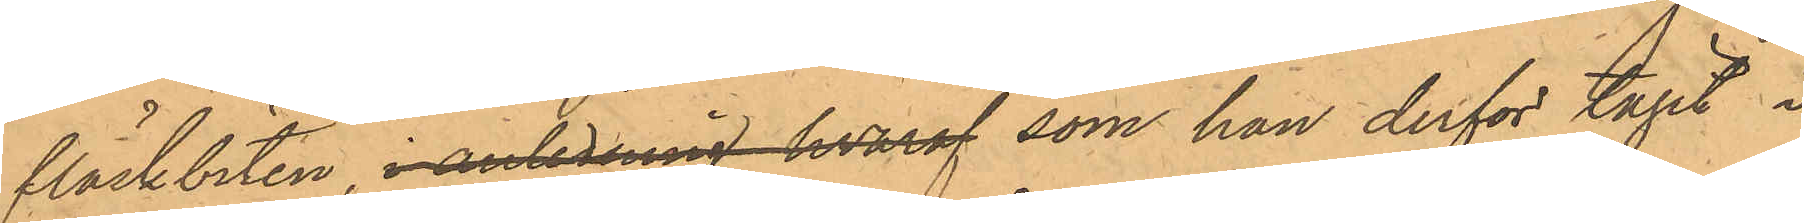fläskbiten, i anledning hvaraf som han derför tagit i
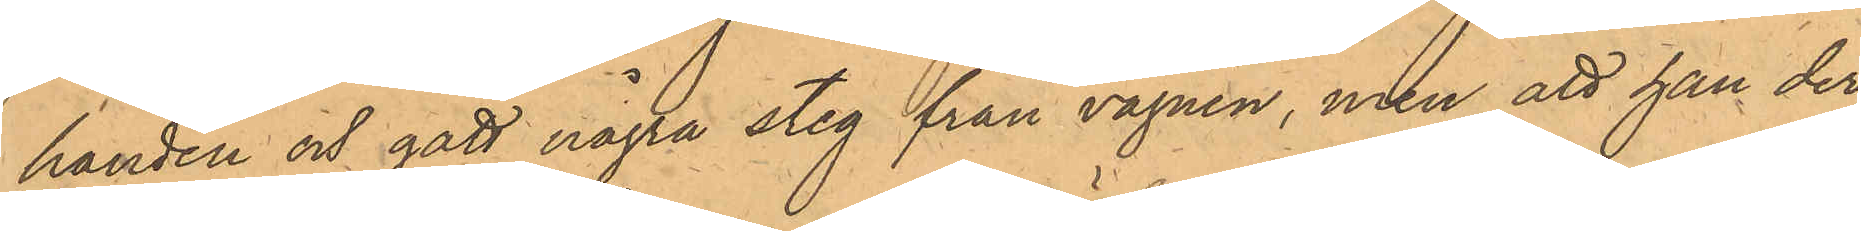handen och gått några steg ifrån vagnen, men att han der¬
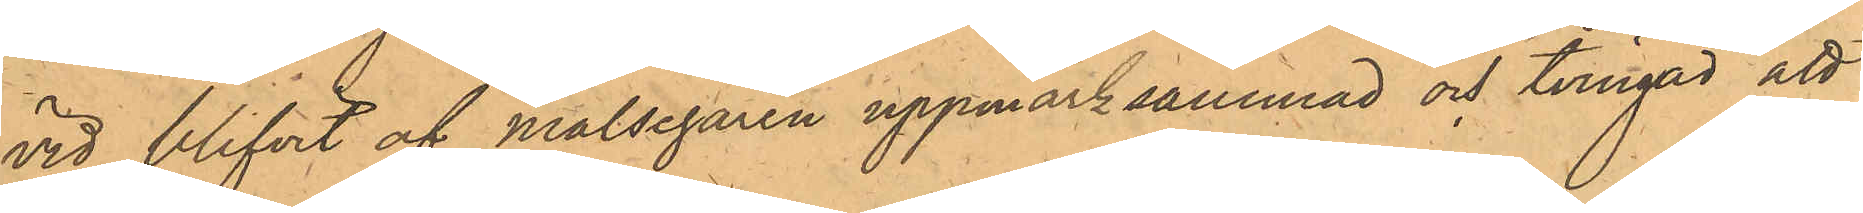vid blifvit af målsegaren uppmärksammad och tvingad att
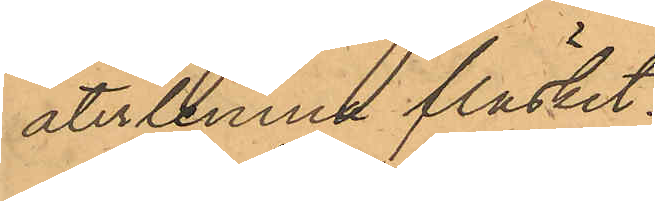återlemna fläsket.
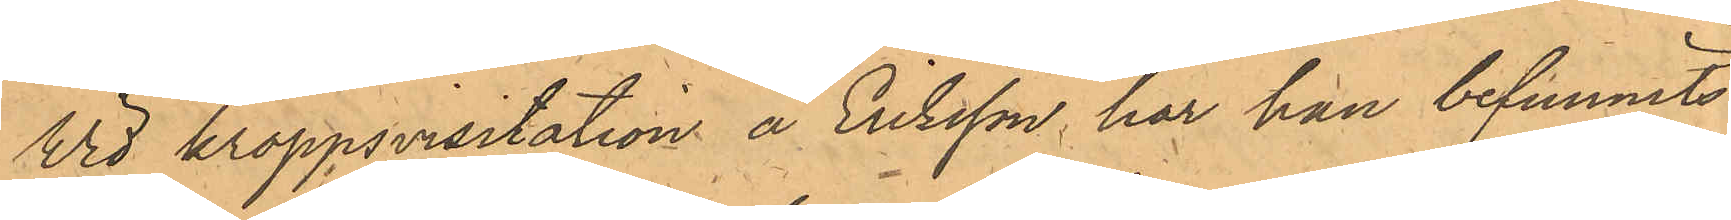Vid kroppsvisitation å Eriksson har han befunnits
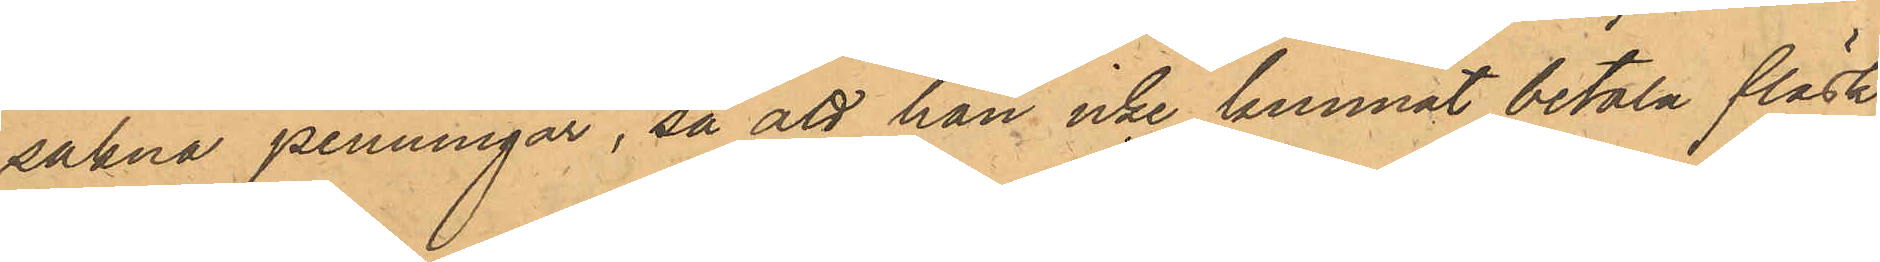sakna penningar, så att han icke kunnat betala fläsk¬
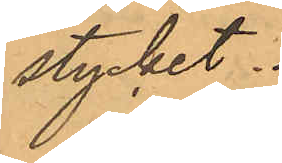stycket.
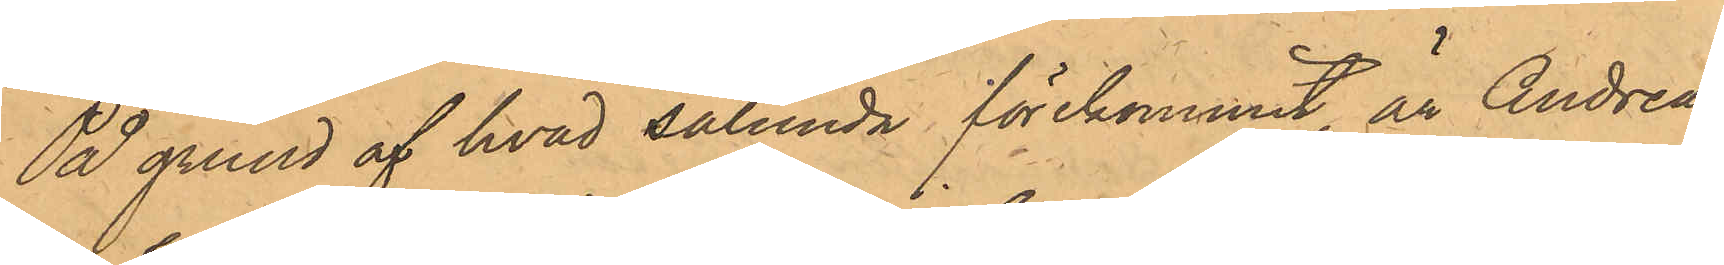På grund af hvad sålunda förekommit, är Andreas
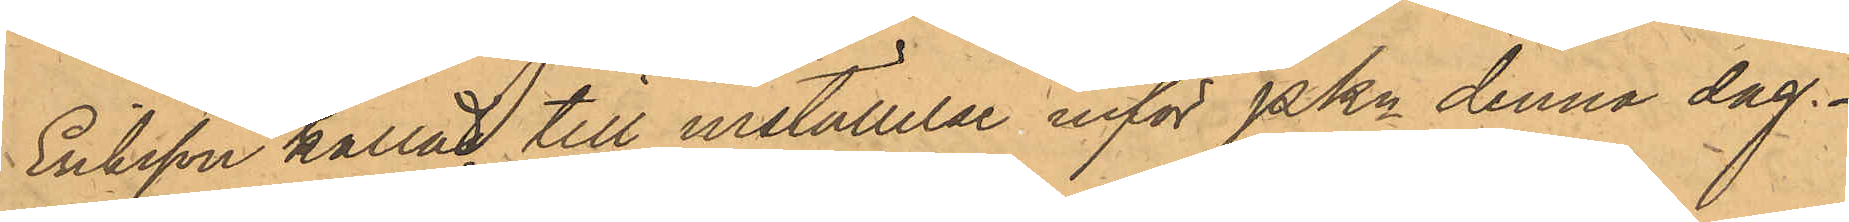Eriksson kallad till inställelse inför PKn denna dag.
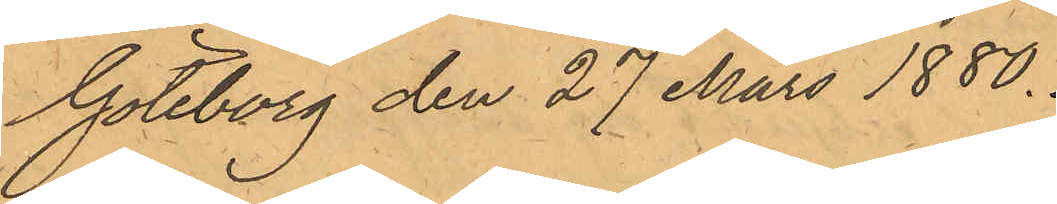Göeborg den 27 Mars 1880.
